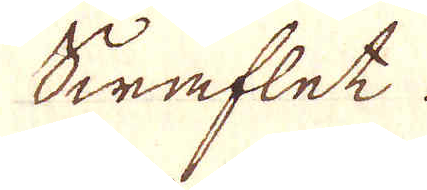Swaflet.
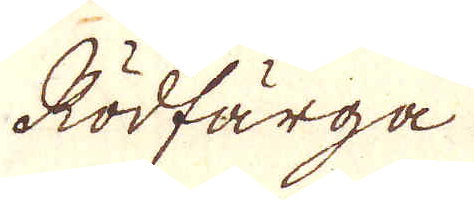Rödfärga
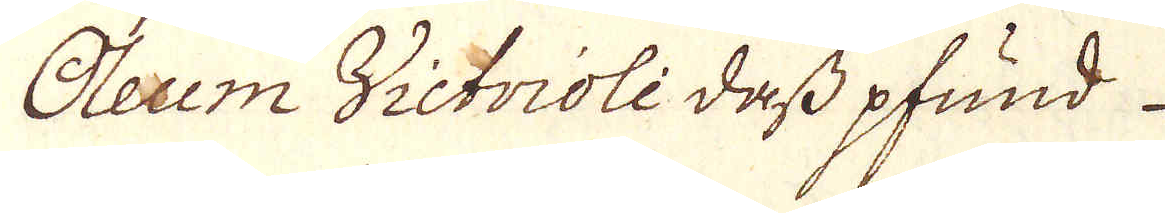Oleum Victrioli dess pfund
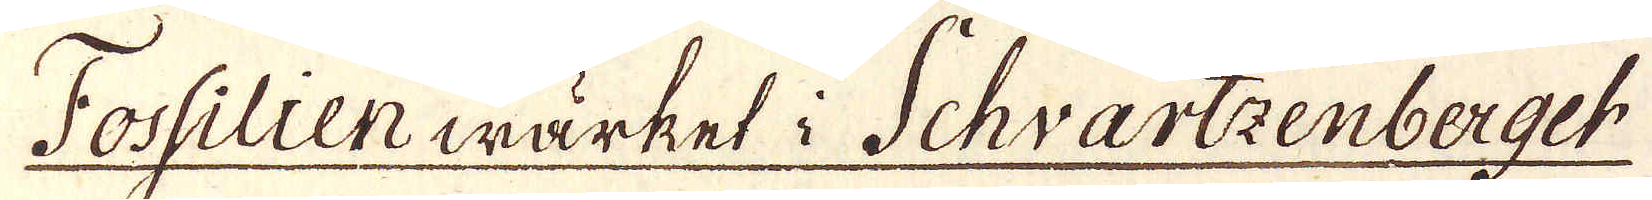Fossillenwärket i Schvartzenberget
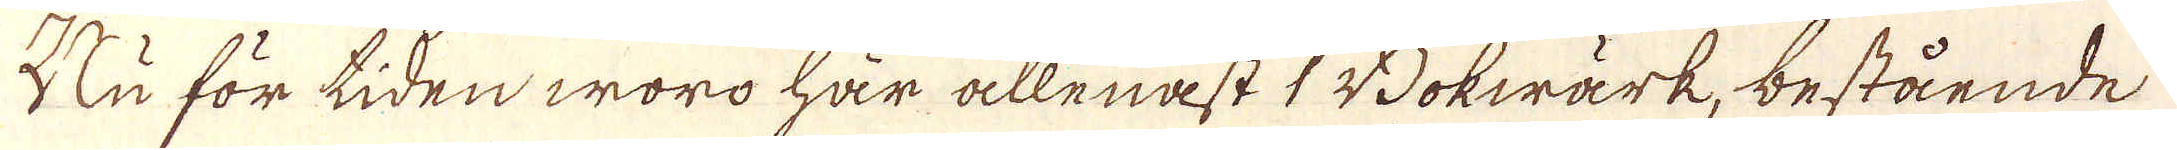Nu för tiden woro här allenast 1 Bokwärk, bestående
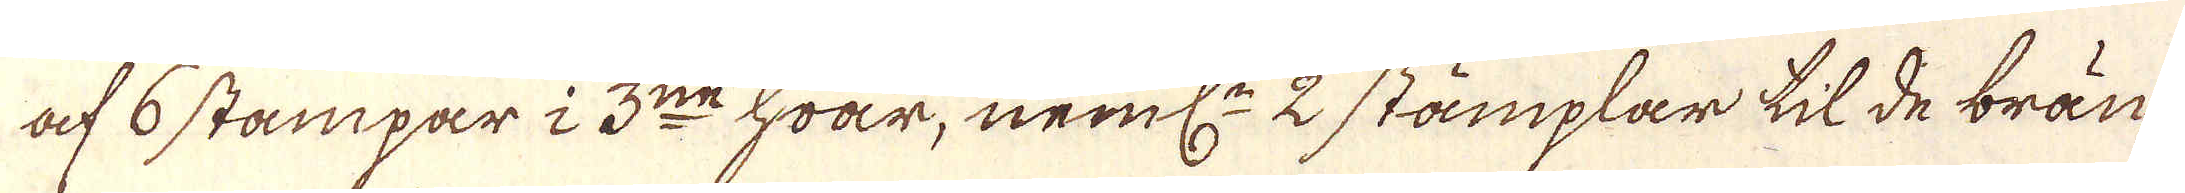af 6 stämpar i 3:ne hwar, neml:n 2 stämplar til de brän-
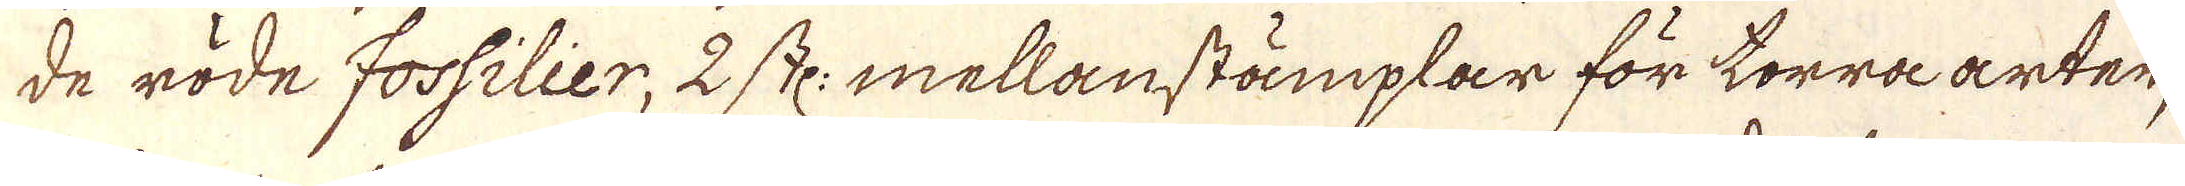de röde Fossilier, 2 st: mellanstämplar för torra arter,
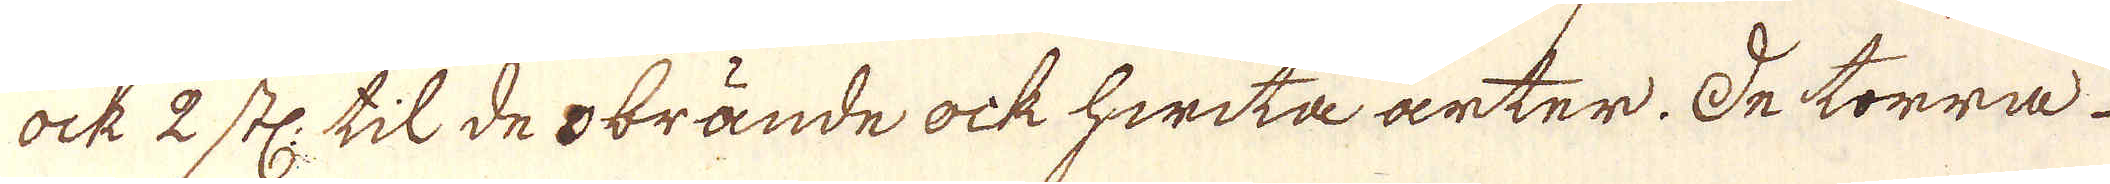ock 2 st: til de obrände ock hwita arter. De torra
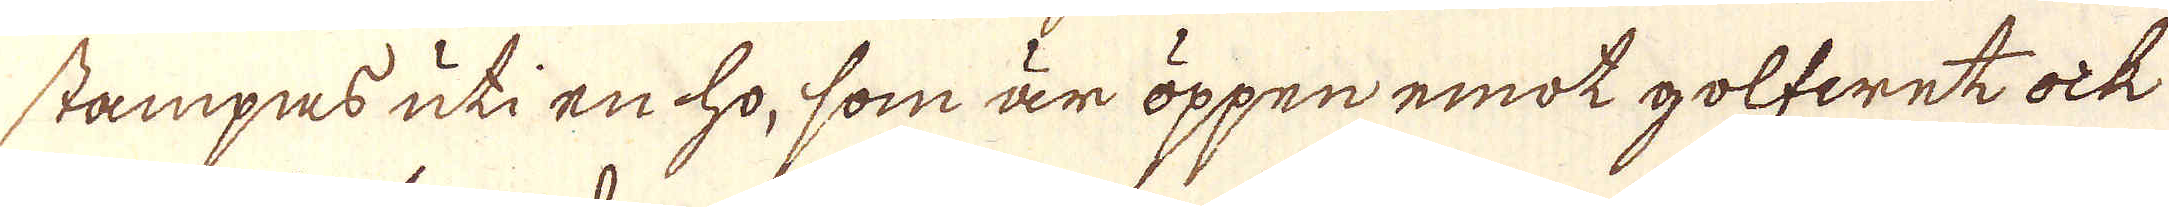stämpas uti en ho, som är öppen emot golfwet ock
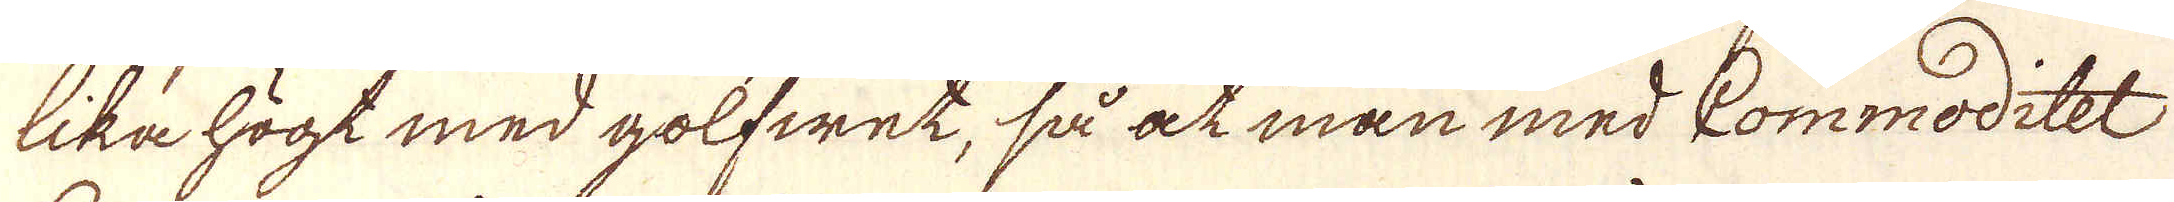lika högt med golfwet, så at man med Commoditet
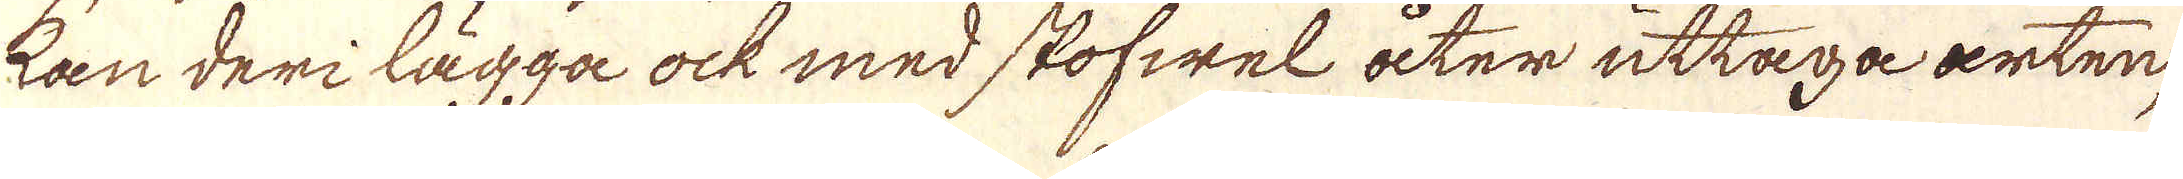kan deri lägga ock med stofwel åter uttaga arten,
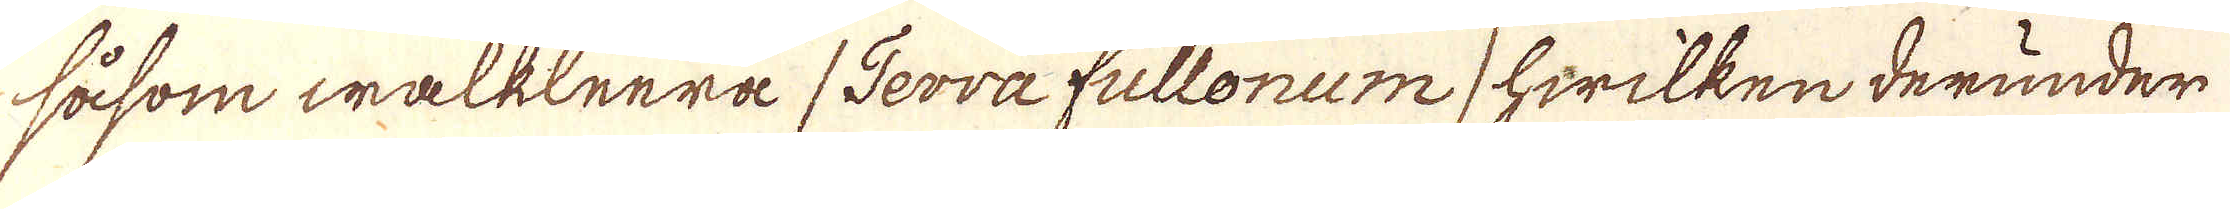såsom walkleera /Terra fullonum/ hwilken derunder
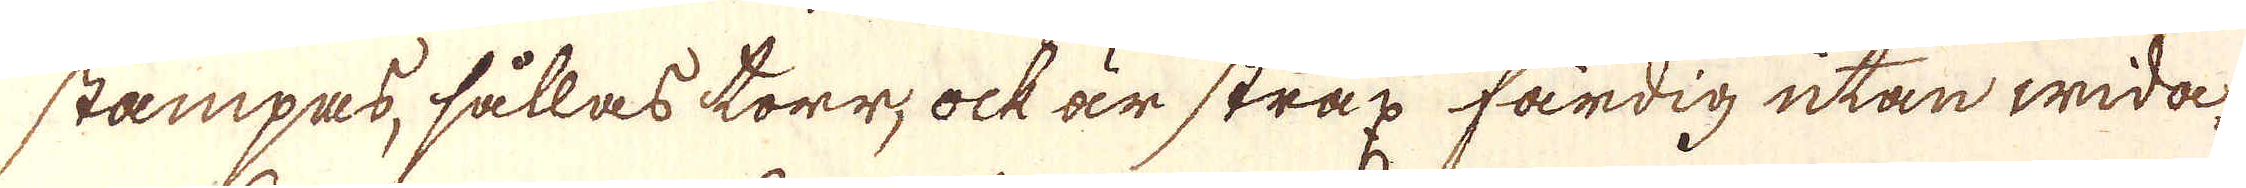stampas, sållas torr, ock är strax färdig utan wida-
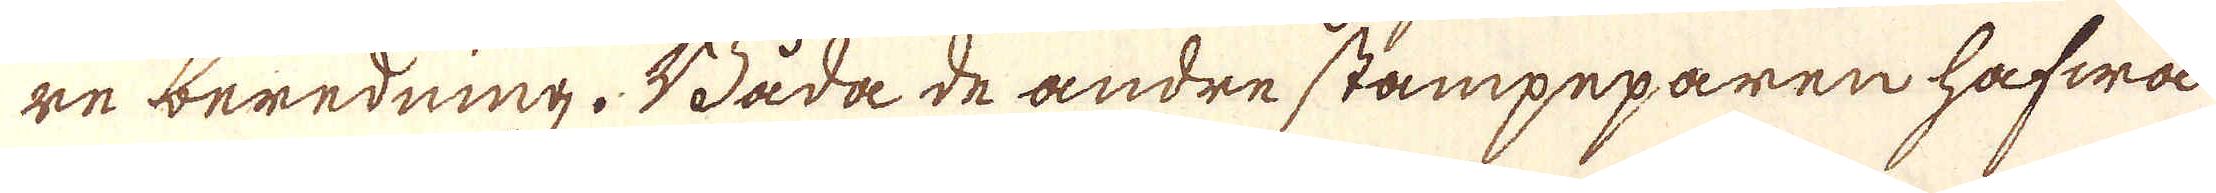re beredning. Båda de andre stämpeparen hafwa
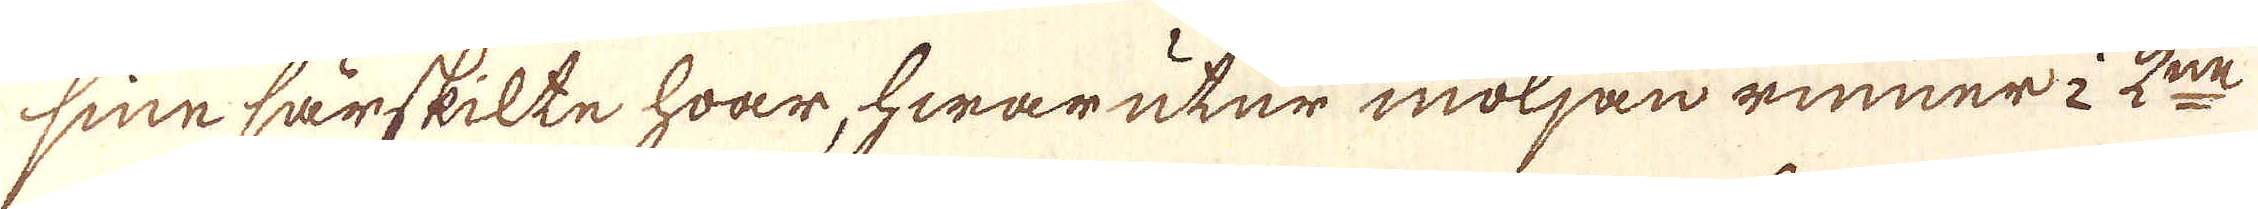sine särskilte hwar, hwarutur möljan rinner i 2:ne
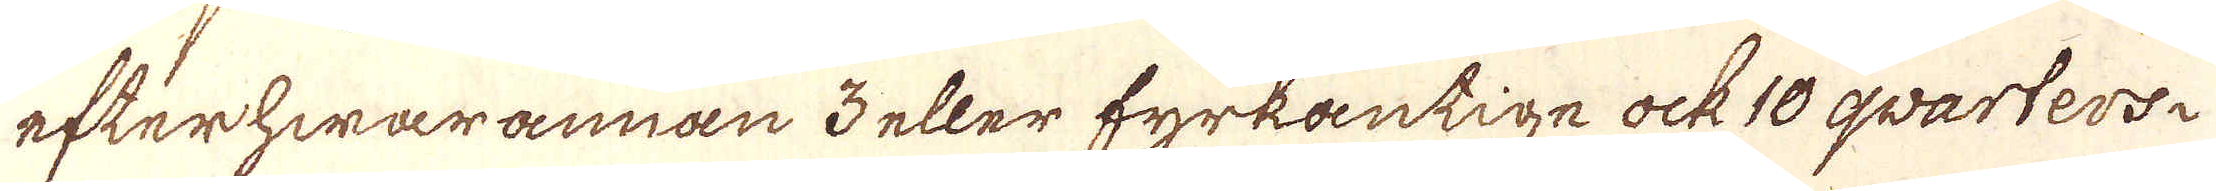efterhwarannan 3 eller fyrkantige ock 10 qvarters.
